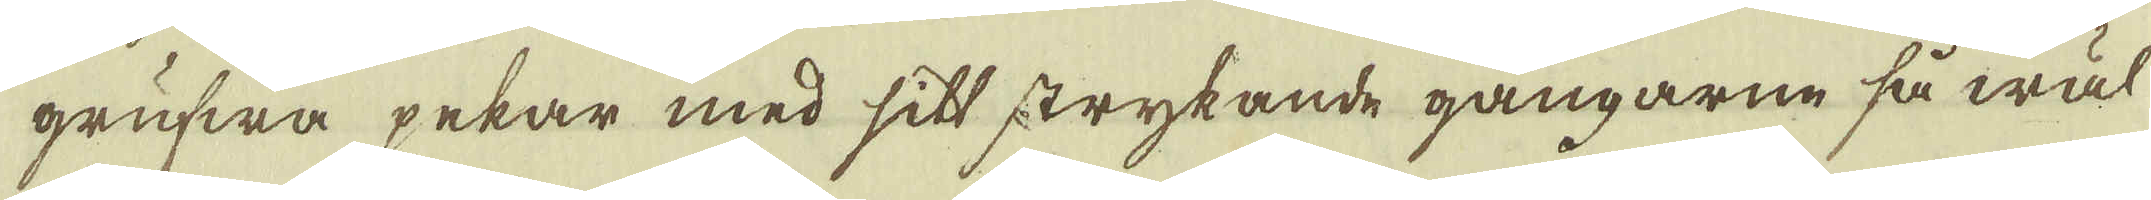grufwa pekar med sitt strykande gångarne så wäl
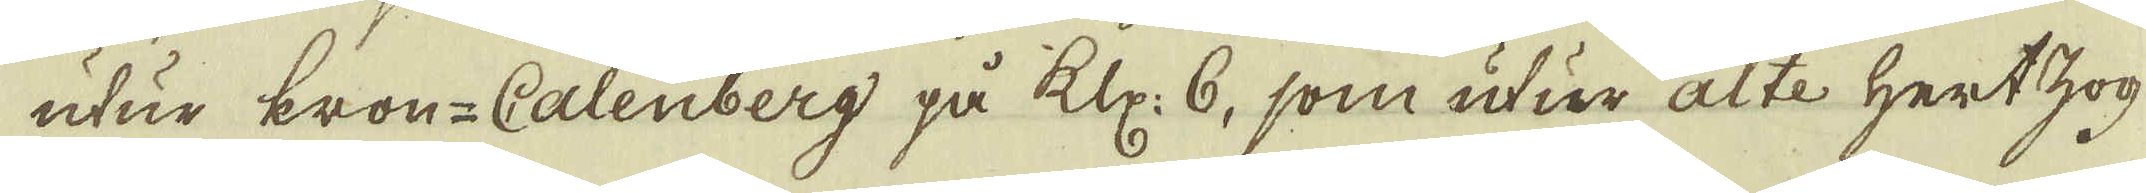utur kron-Calenberg på Klp: 6, som utur alte Hertzog
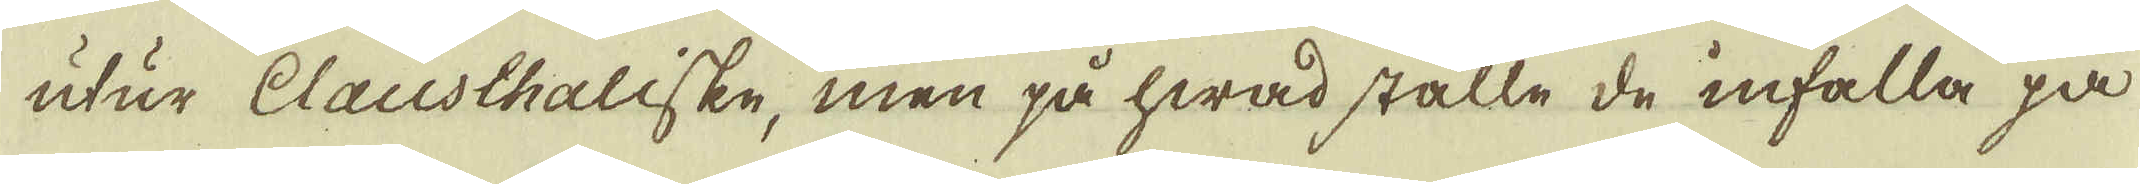utur Clausthaliske, men på hwad ställe de infalla på
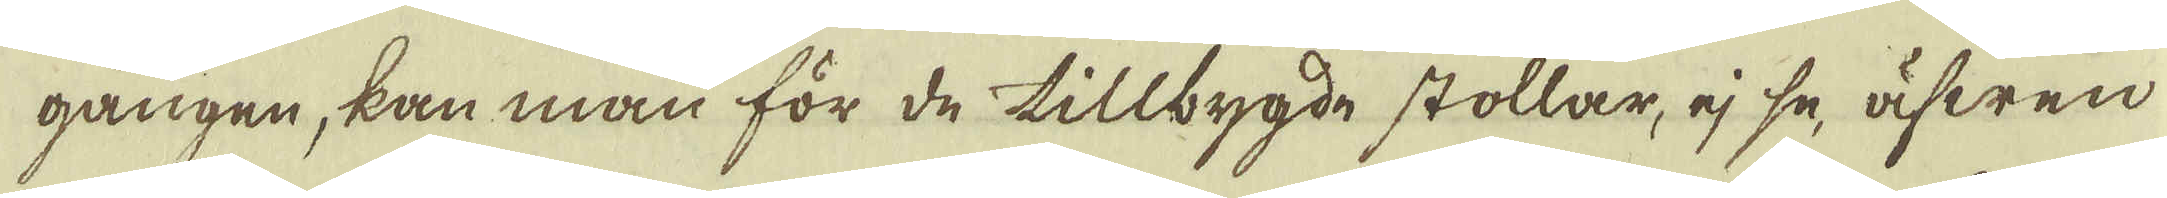gången, kan man för de tillbygde stollar, ej se, äfwen
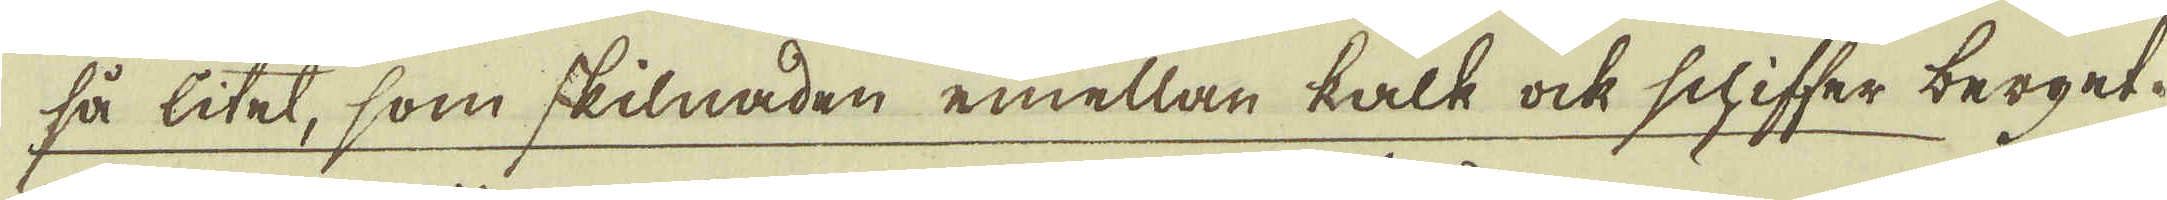så litet, som skilnaden emellan kall ock schiffer berget.
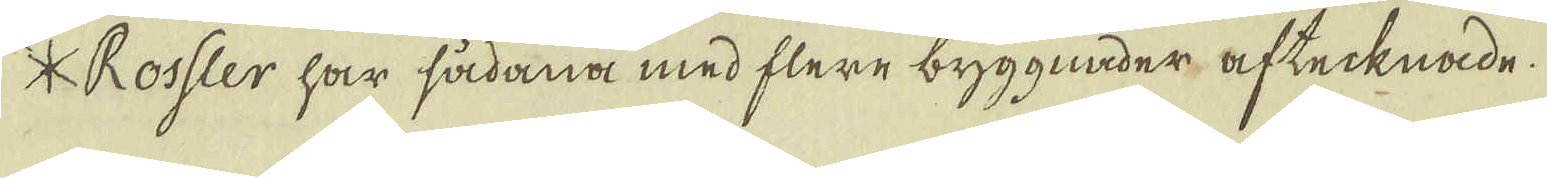* Rossler har sådana med flere byggnader aftecknade.
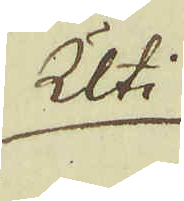Uti
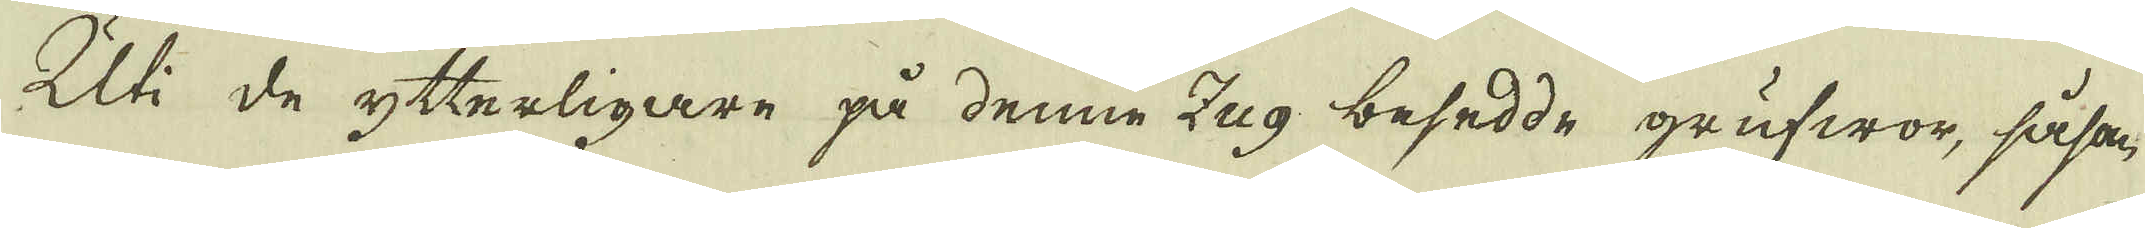Uti de ytterligare på denne Zug besedde grufwor, såsom,
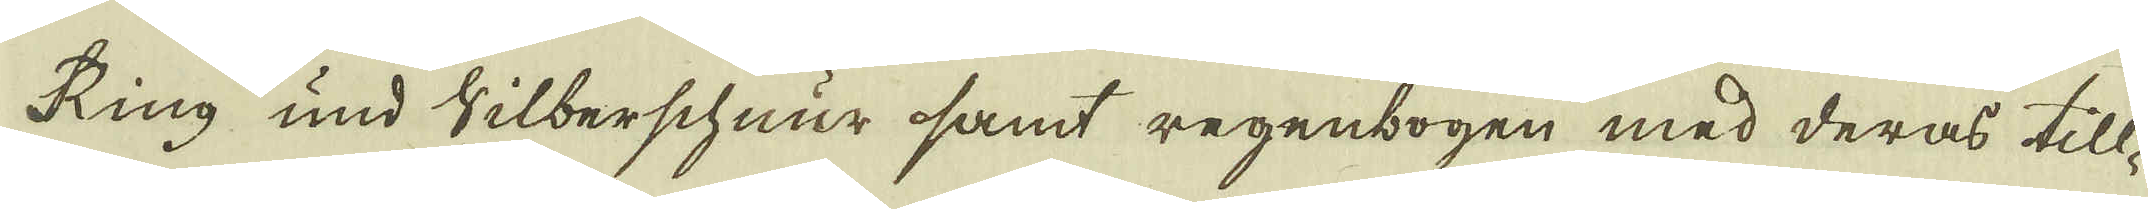Ring und Silberschnur samt regenbogen med deras till-
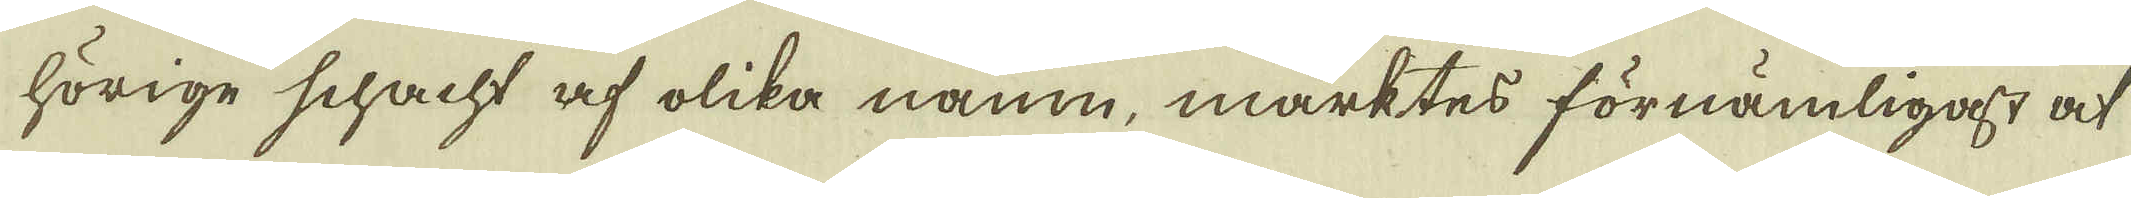hörige schacht af olika namn, märktes förnämligast at
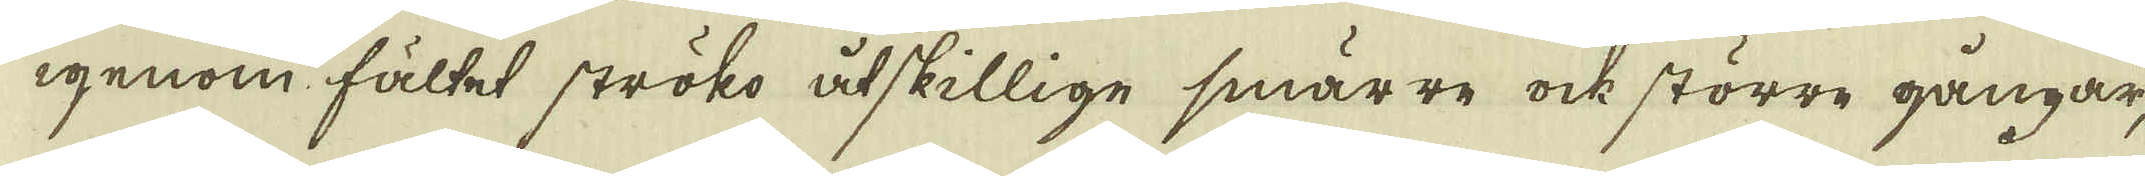igenom fältet ströko åtskillige smärre ock större gångar,
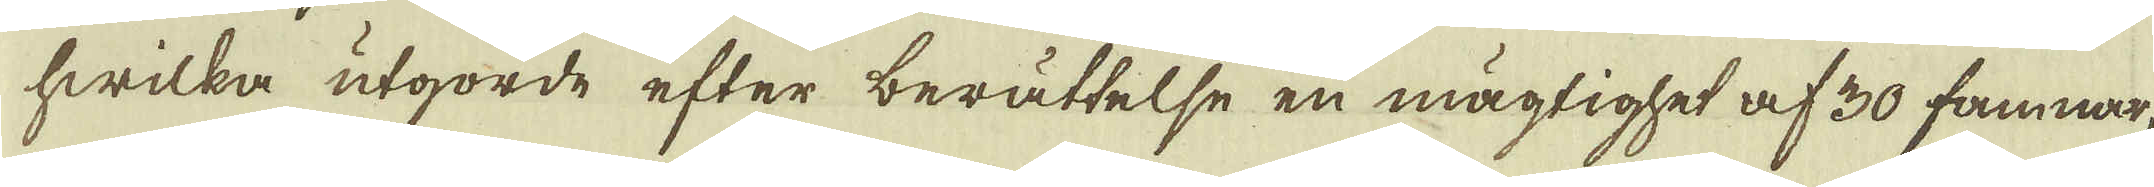hwilka utgorde efter berättelse en mägtighet af 30 famnar,
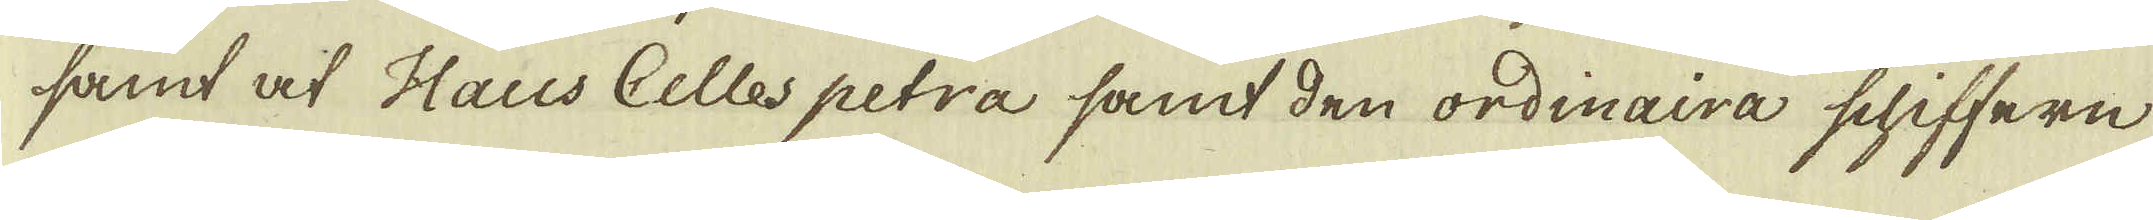samt af Haus Cellespetra samt den ordinaira schiffern
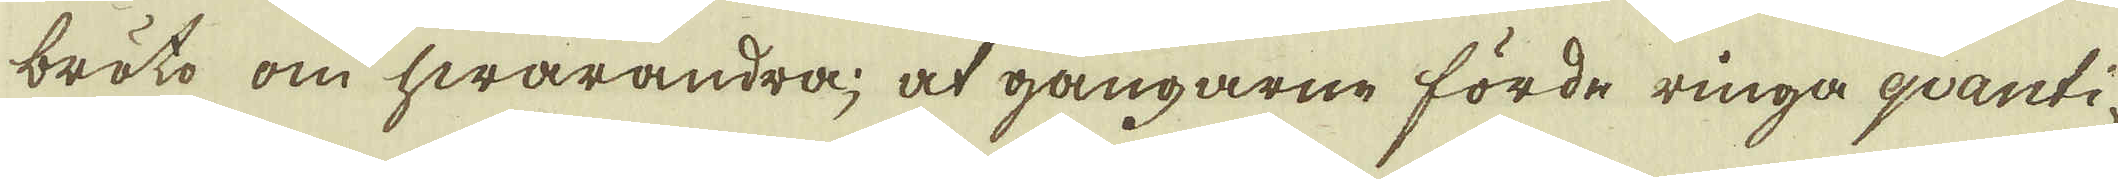bröto om hwarandra, at gångarne förde ringa qvanti-
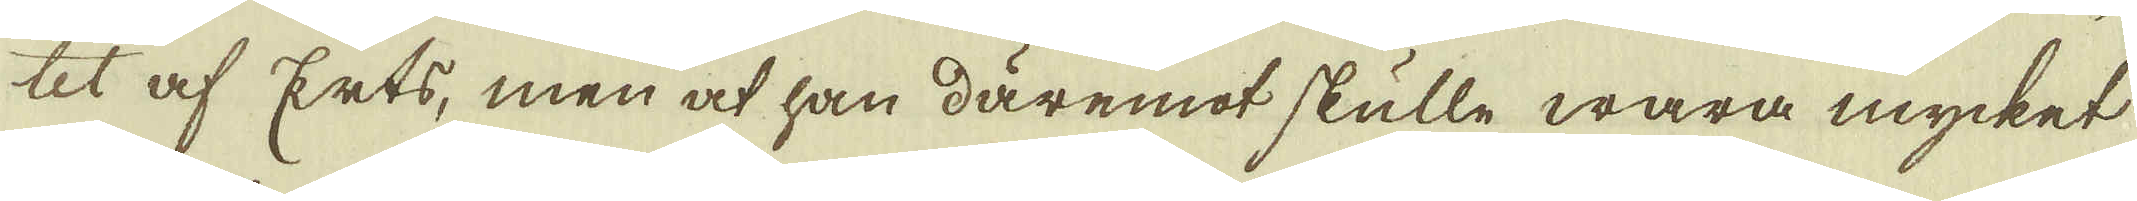tet af Erts, men at han däremot skulle wara mycket
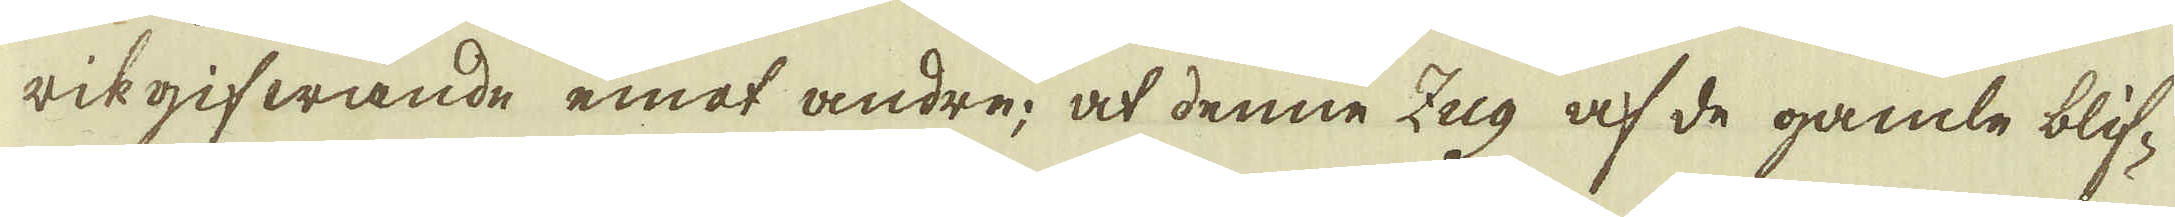rikgifwande emot andre; at denne Zug af de gamle blif-
